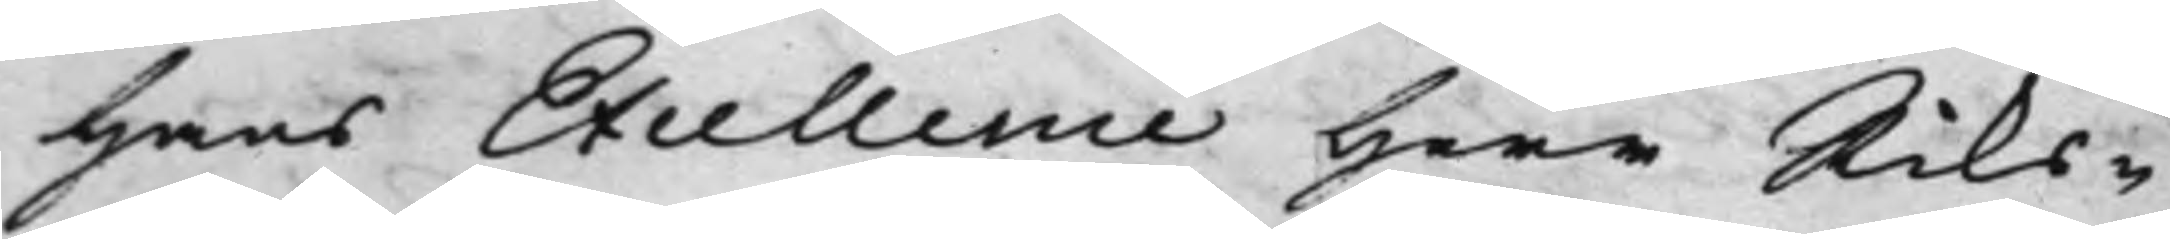Hans Excellence Herr Riks¬
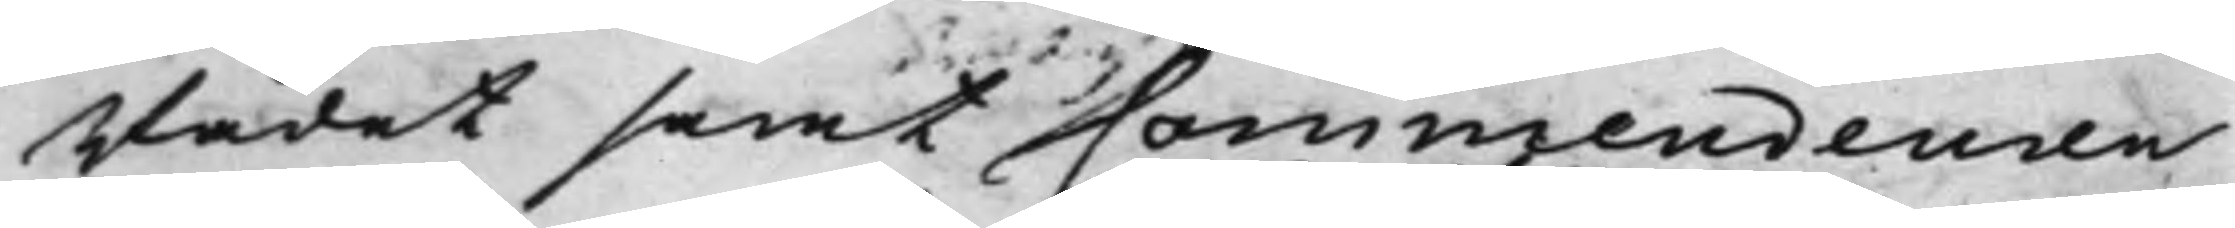Rådet samt Commendeuren
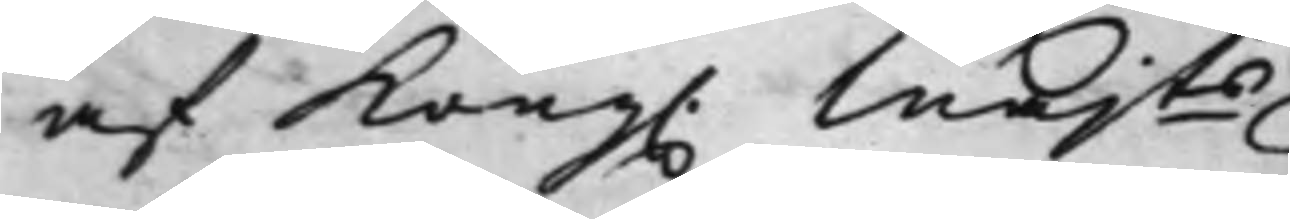af Kong. Majts
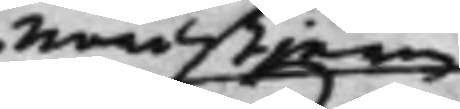Nordstjern
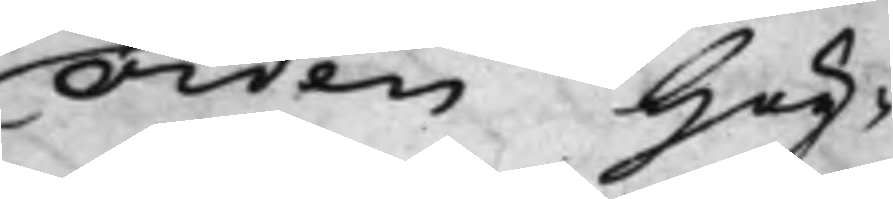Orden Hög¬
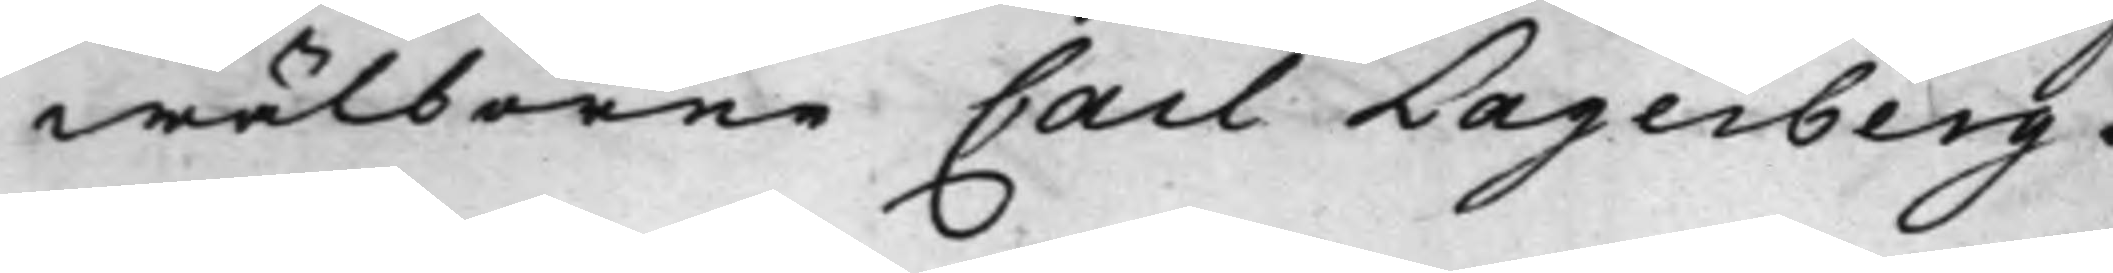wälborne Carl Lagerberg
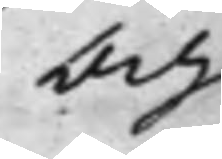Och
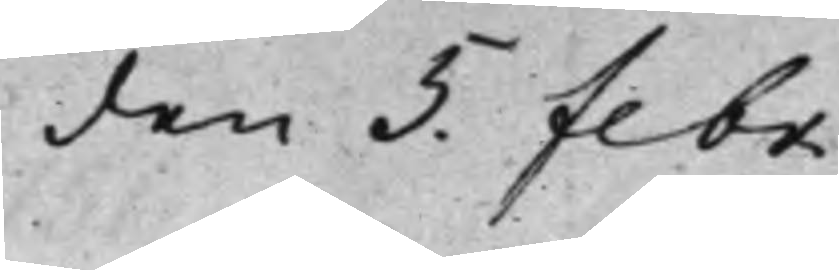den 5. Febr.
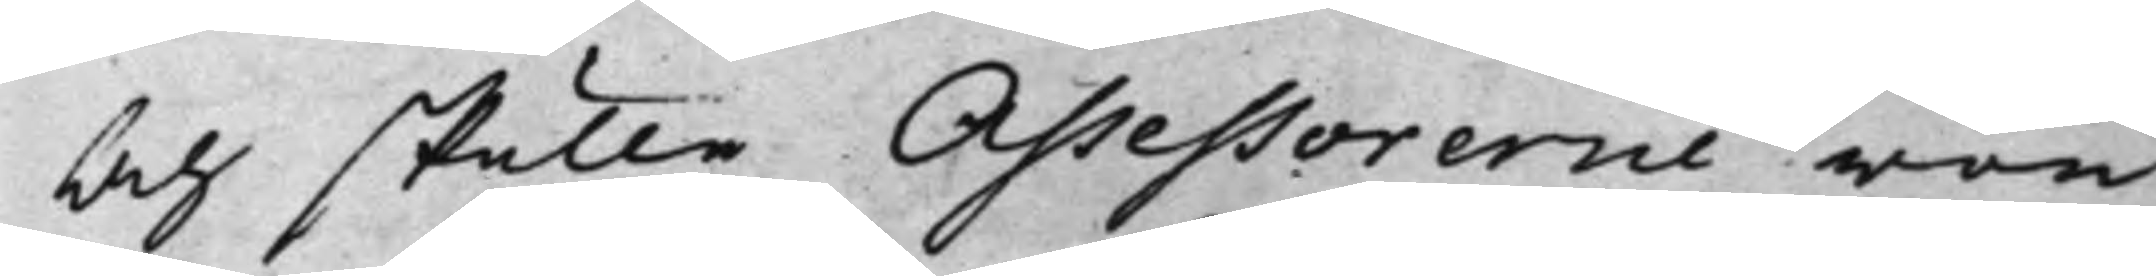Och skulle Assessorerne von
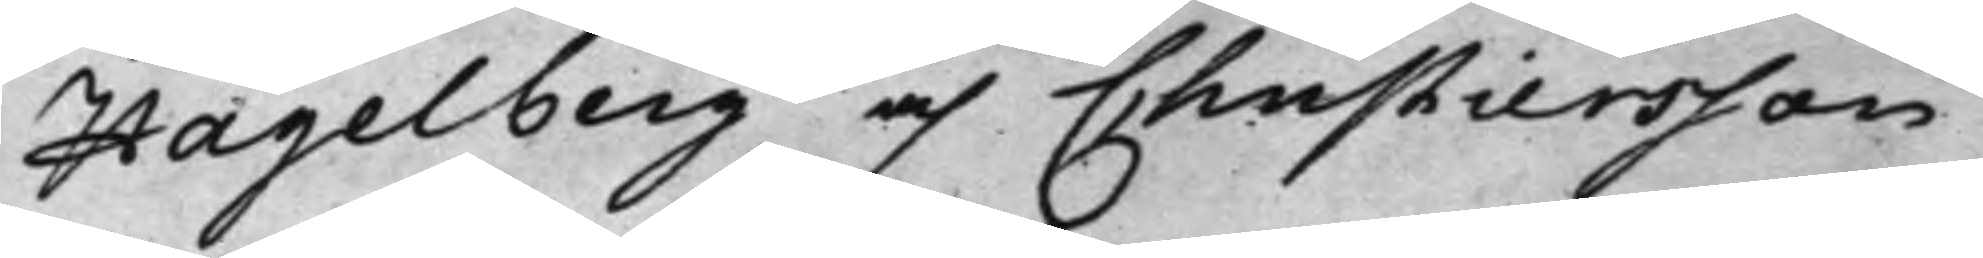Hagelberg och Christiersson
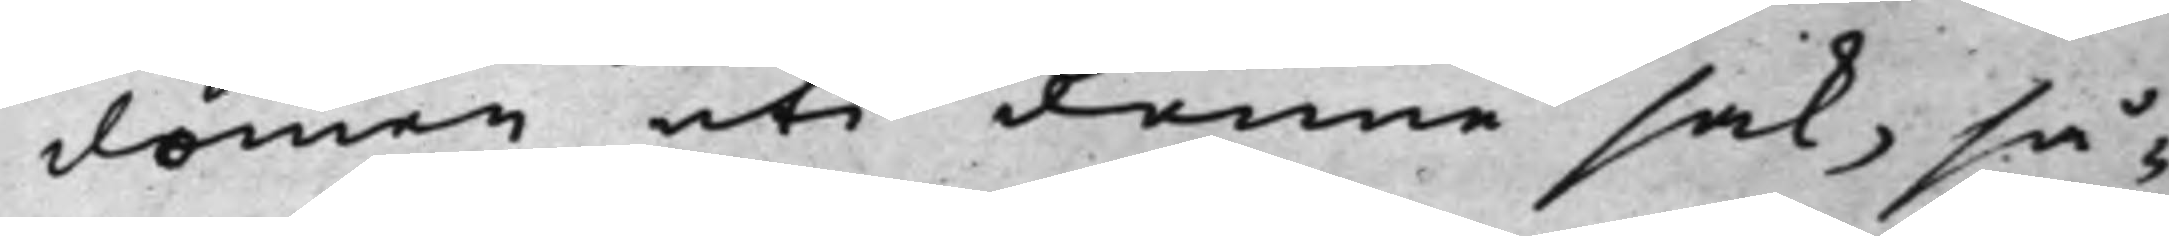domen uti denne sak, så¬
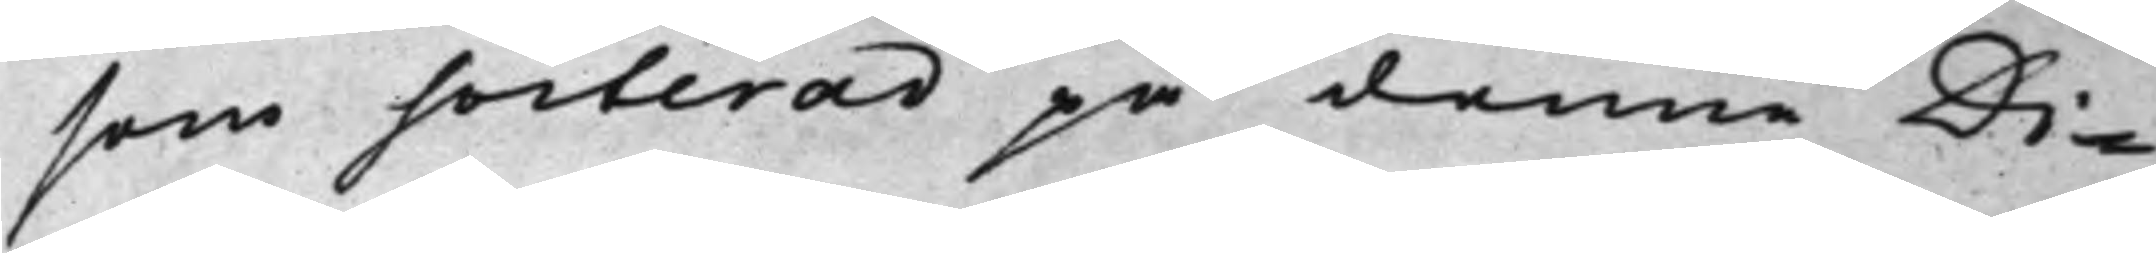som sorterad på denne Di¬
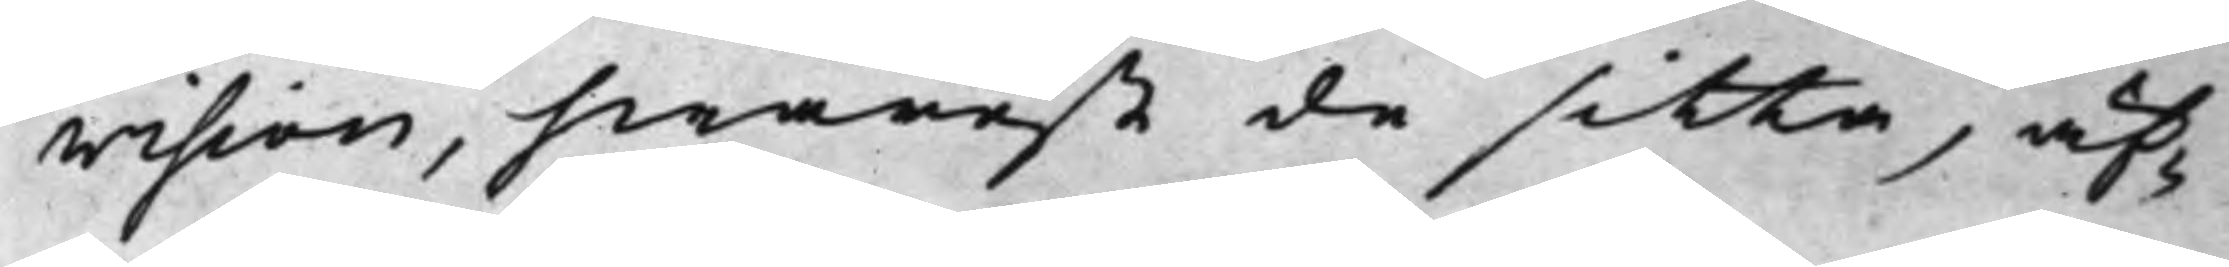vision, hwarest de sitta, äf¬
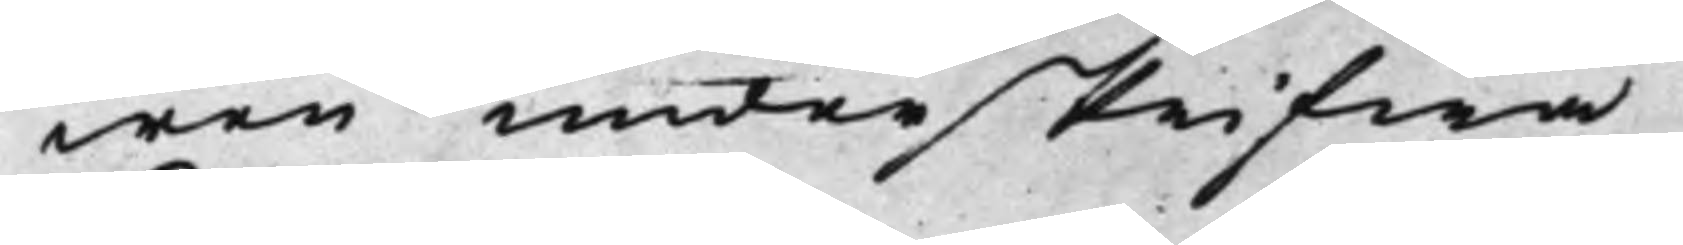wen underskrifwa.
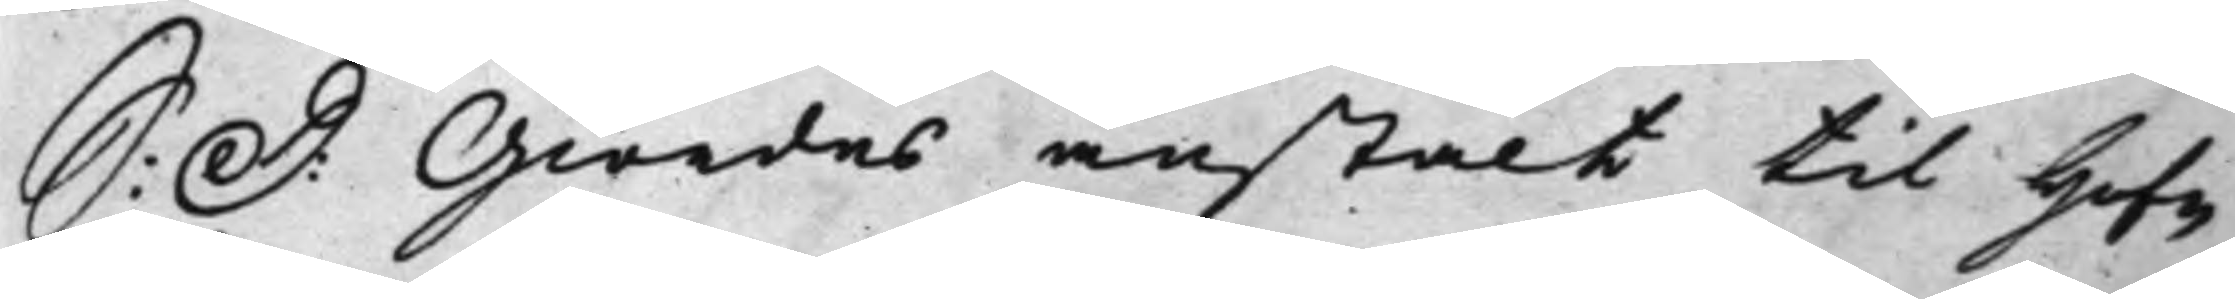S: D: Giordes anstalt til Hof¬
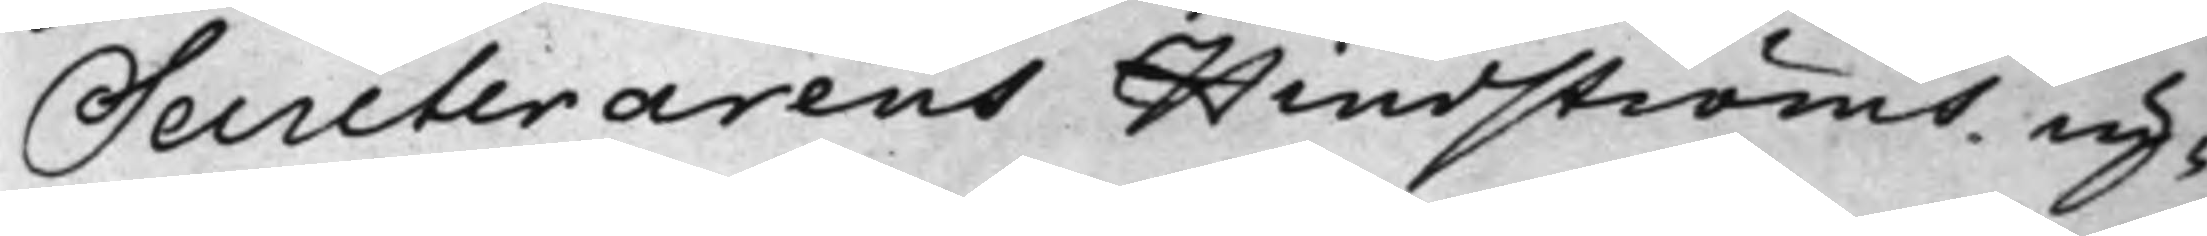Secreterarens Hindströms up¬
